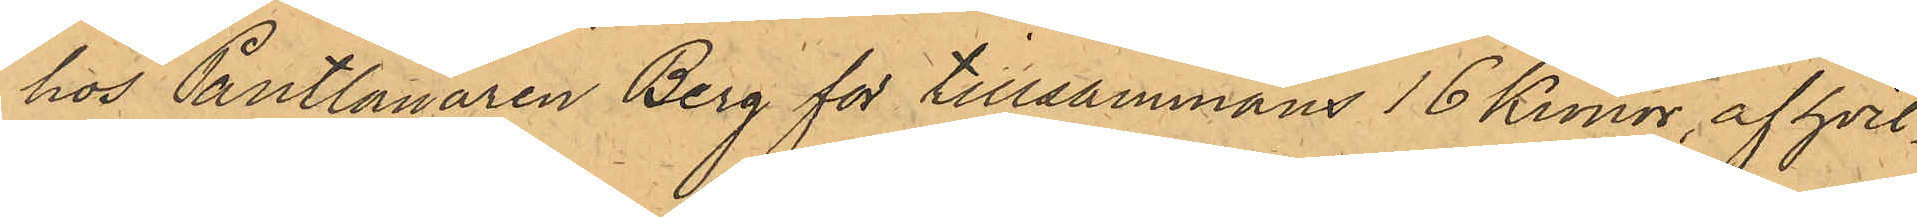hos Pantlånaren Berg för tillsammans 16 Kronor, af hvil¬
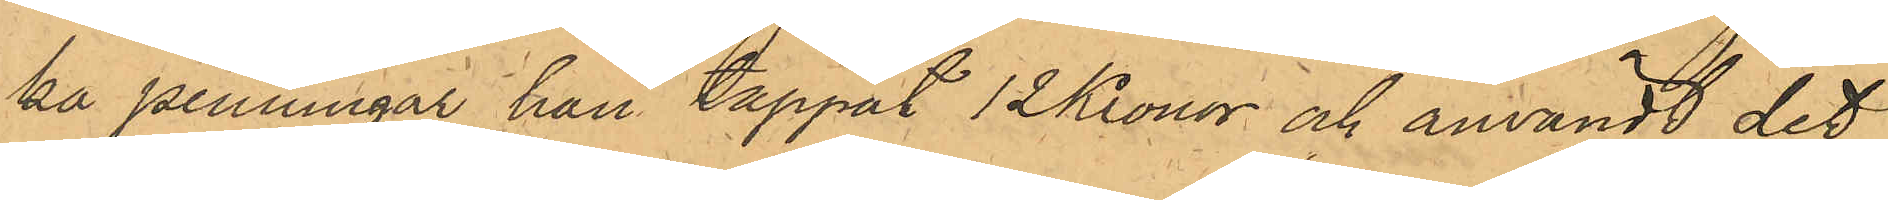ka penningar han tappat 12 Kronor och användt det
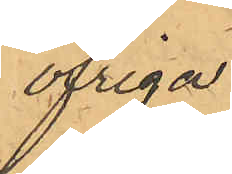övriga.
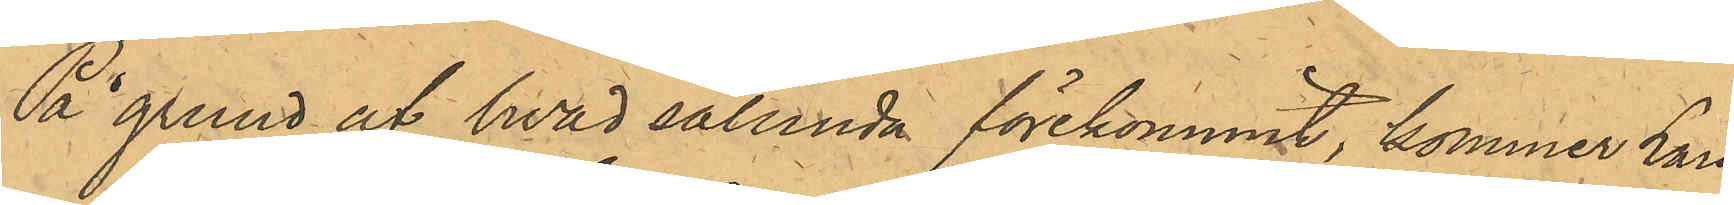På grund af hvad sålunda förekommit, kommer Lars
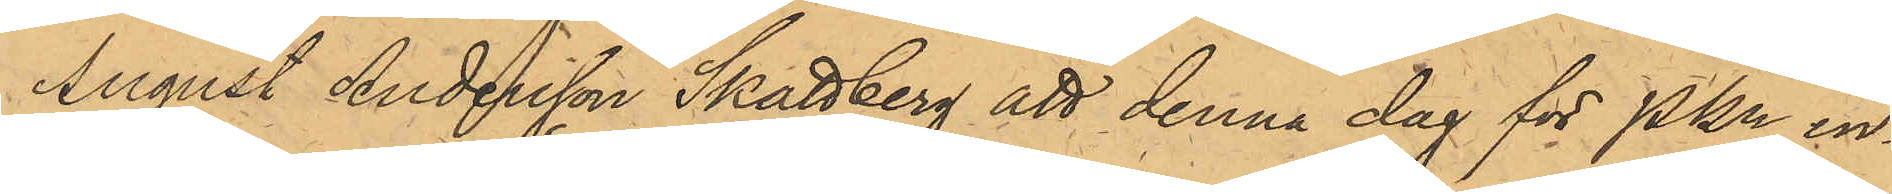August Andersson Skattberg att denna dag för PKn in¬
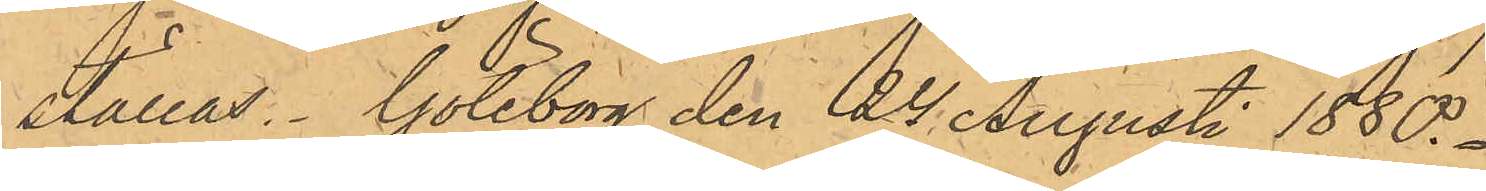ställas. Göteborg den 24 Augusti 1880.
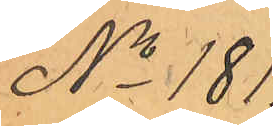No 181.
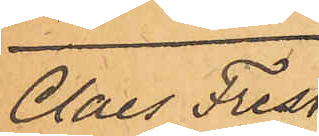Claes Fresk.
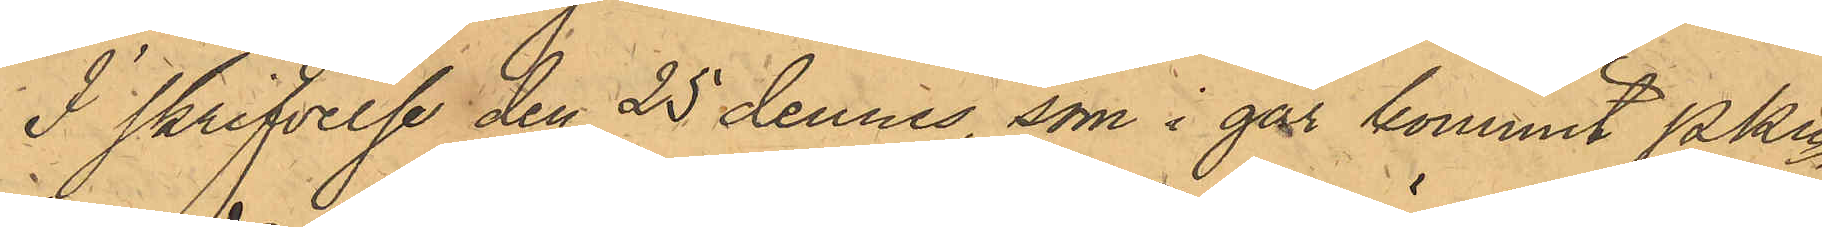I skrifvelse den 25 dennes, som i går kommit Pkn
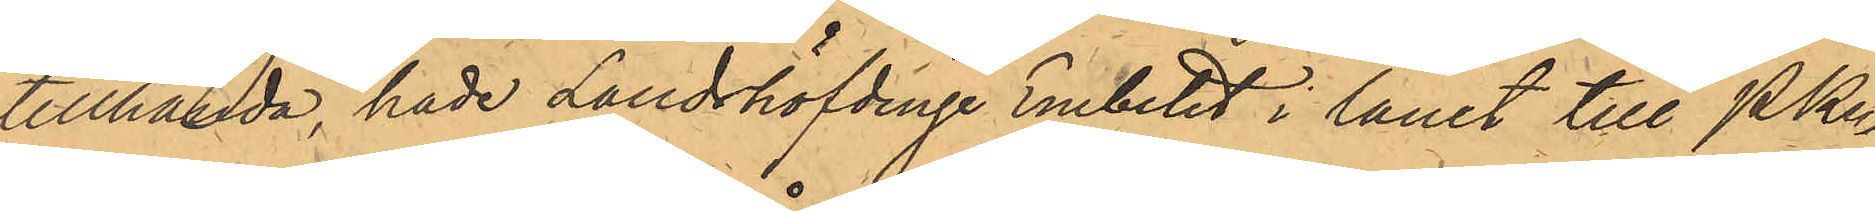tillhanda, hade Landshöfdinge Embetet i länet till PKn
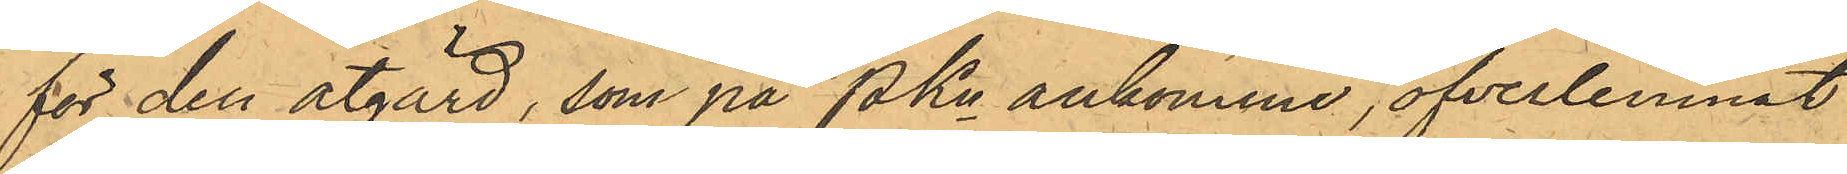för den åtgärd, som på PKn ankomme, öfverlemnat
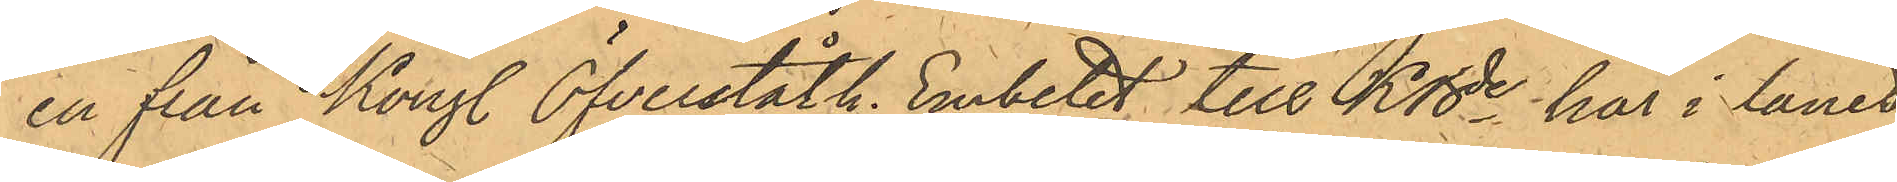en från Kongl. Öfverståth. Embetet till KBde här i länet
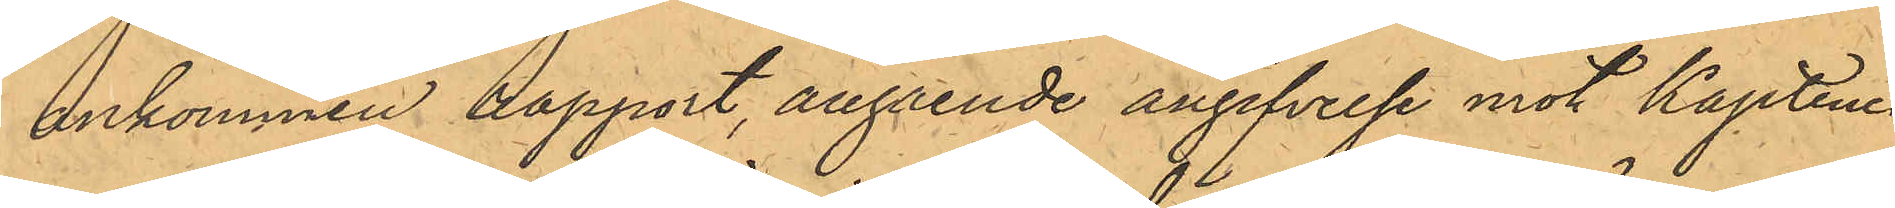ankommen rapport, angående angifvelse mot Kaptenen
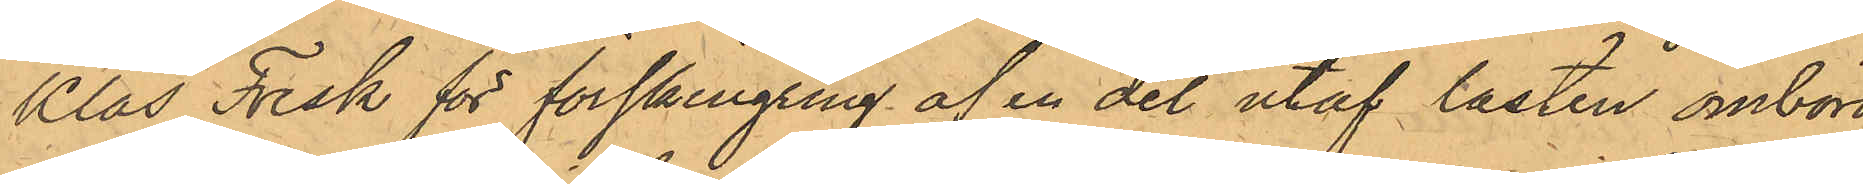Klas Fresk för förskingring af en del utaf lasten ombord
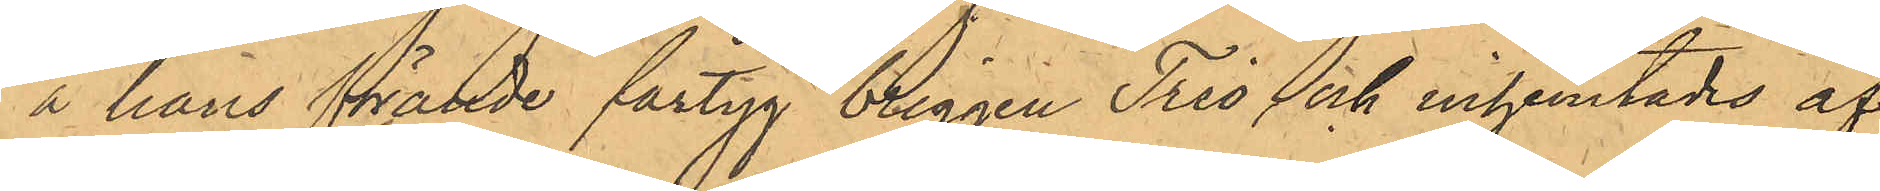å hans förande fartyg briggen Trio och inhemtades af
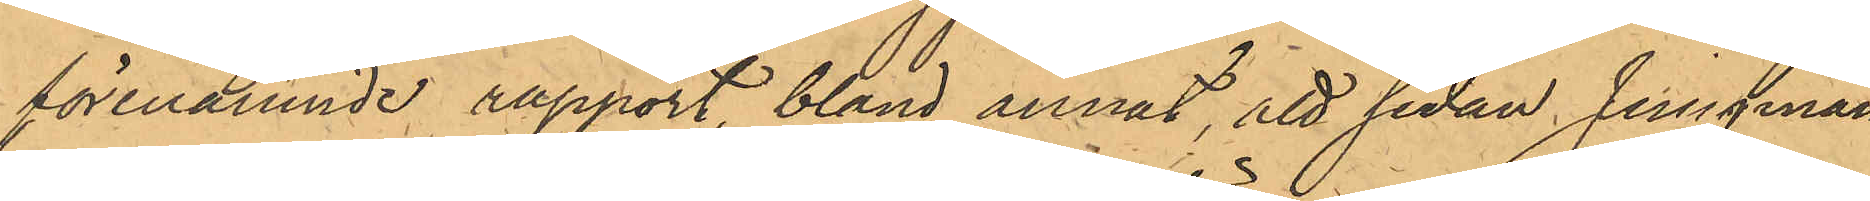förenämnde rapport, bland annat, att sedan Jungmän¬
